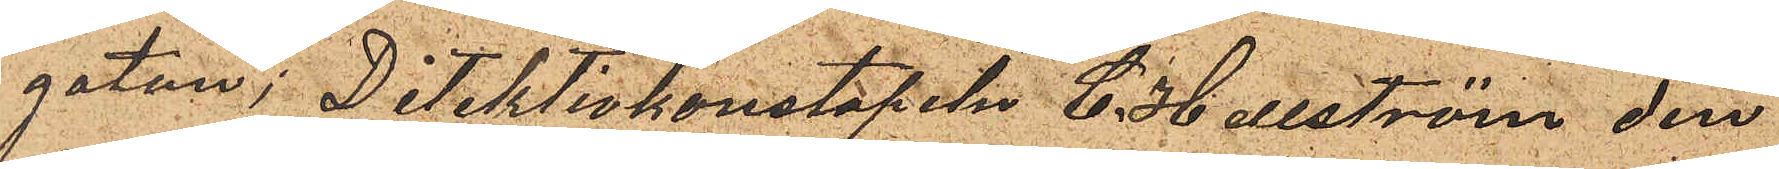gatan; Detektivkonstapeln C. Hellström den
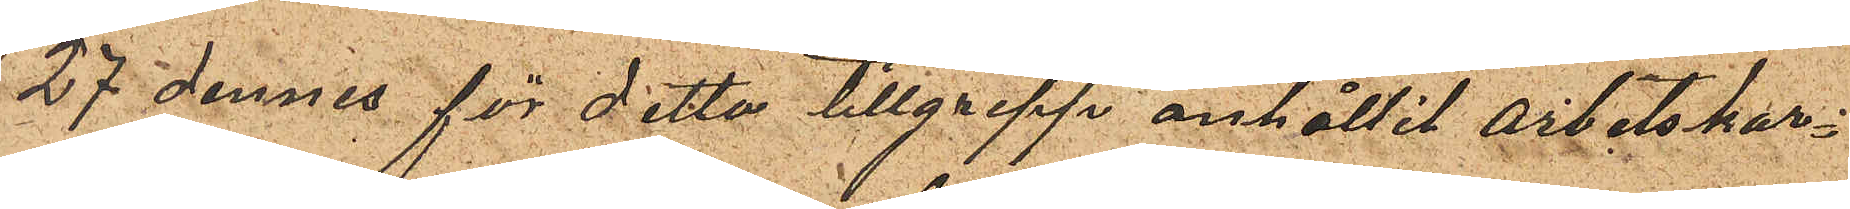27 dennes för detta tillgrepp anhållit arbetskar¬
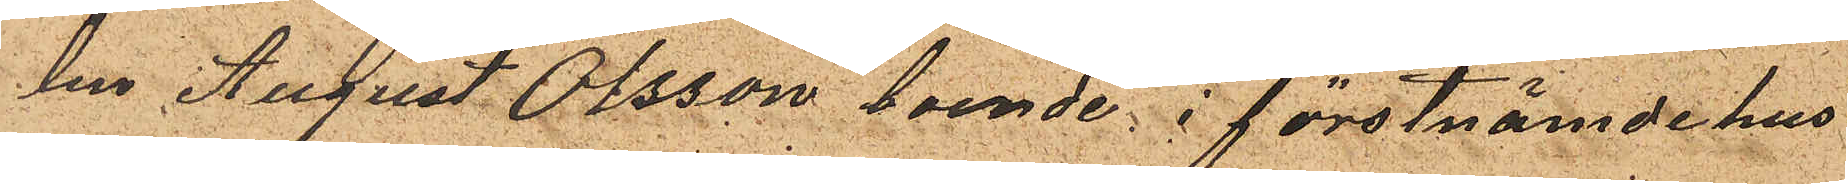len August Olsson boende i förstnämde hus
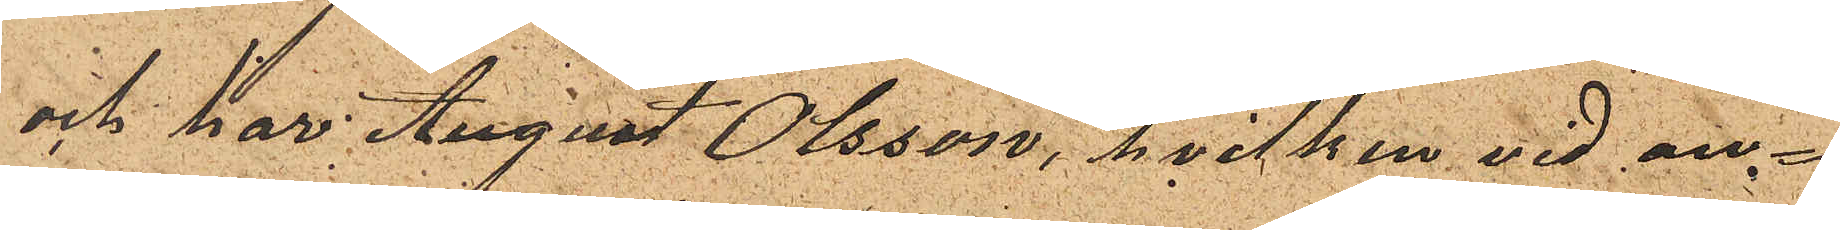och har August Olsson, hvilken vid an¬
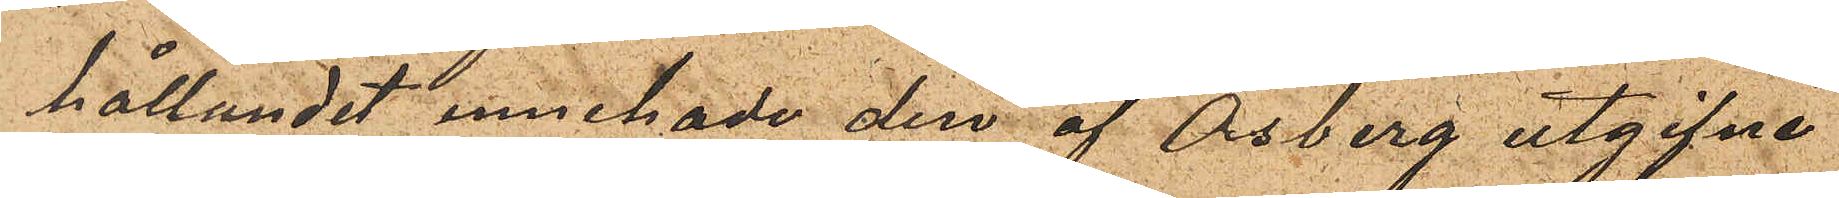hållandet innehade den af Osberg utgifne
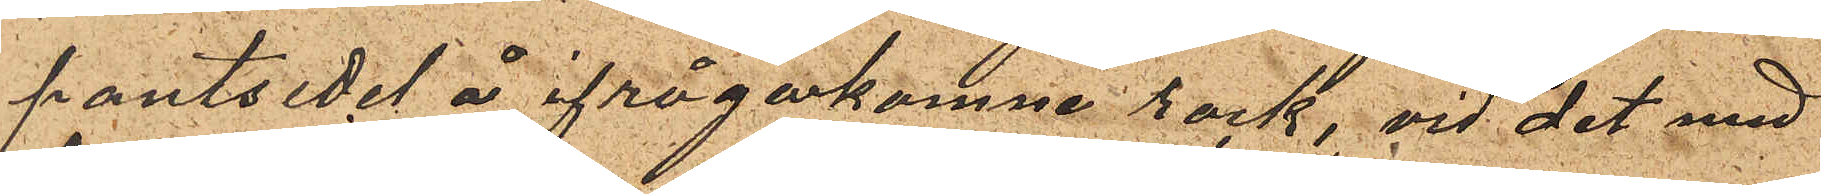pantsedel å ifrågakomne rock, vid det med
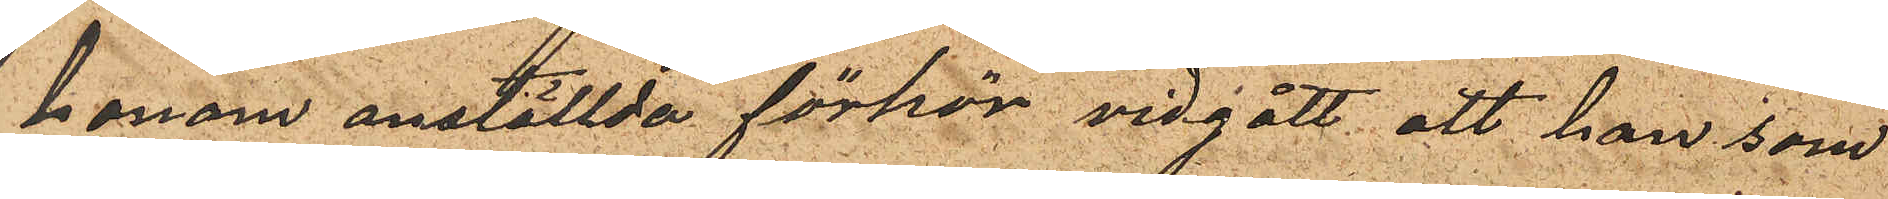honom anställda förhör vidgått att han som
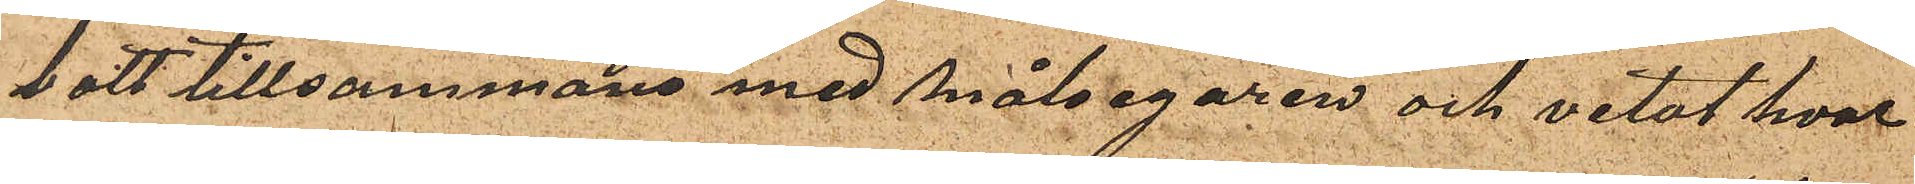bott tillsammans med målsegaren och vetat hvar
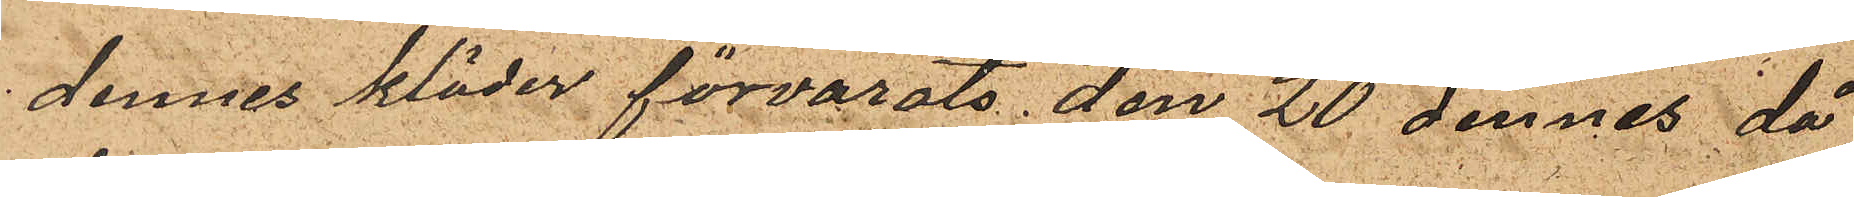dennes kläder förvarats den 20 dennes då
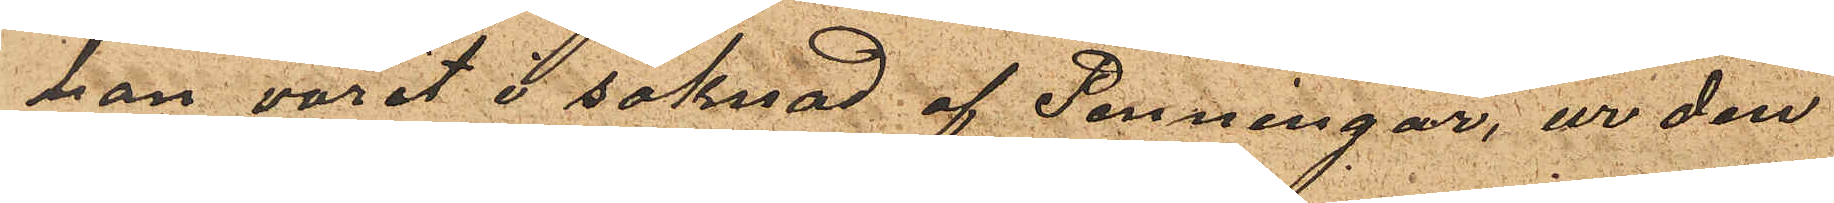han varit i saknad af Penningar, ur den
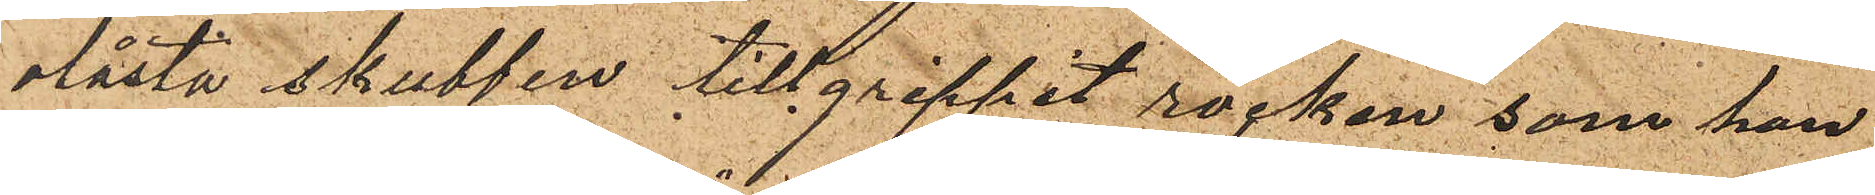olåsta skubben tillgreppet rocken, som han
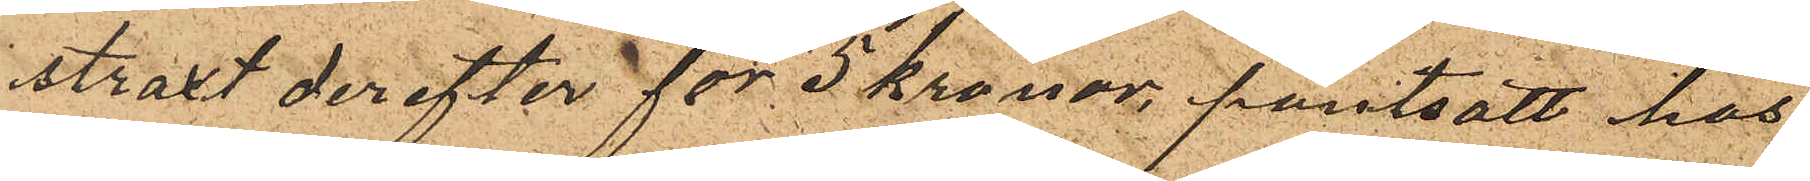straxt derefter för 5 kronor pantsatt hos
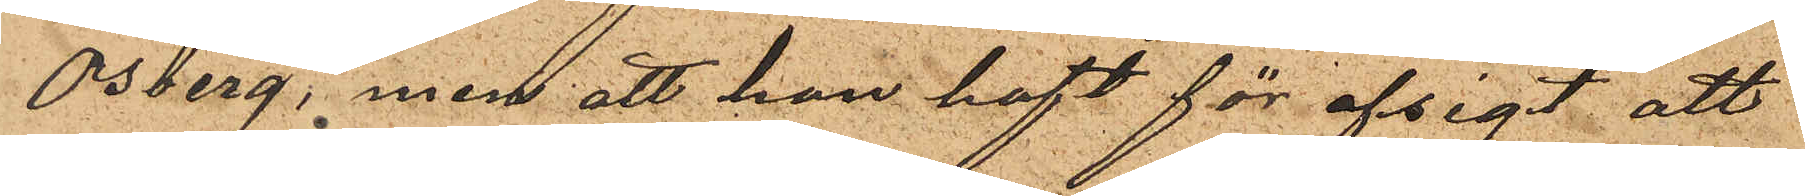Osberg, men att han haft för afsigt att
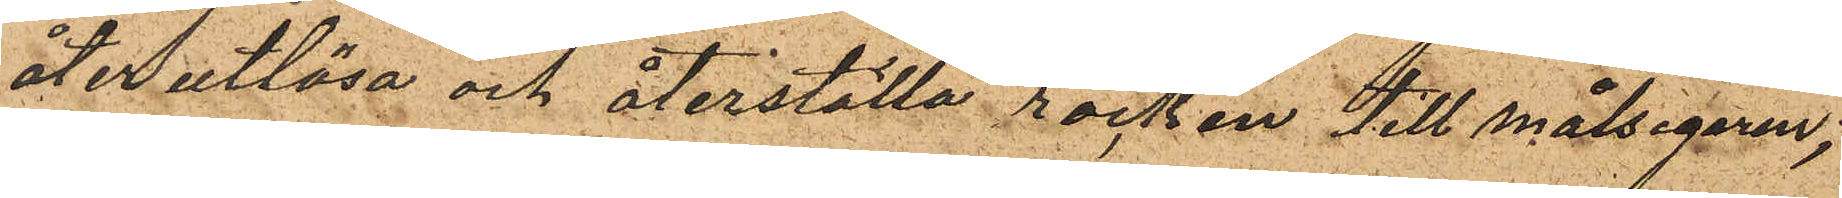åter utlösa och återställa rocken till målsegaren;
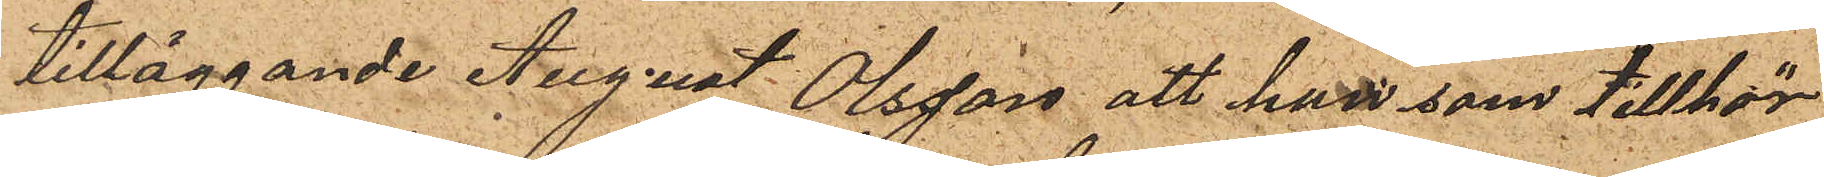tilläggande August Olsson att han som tillhör
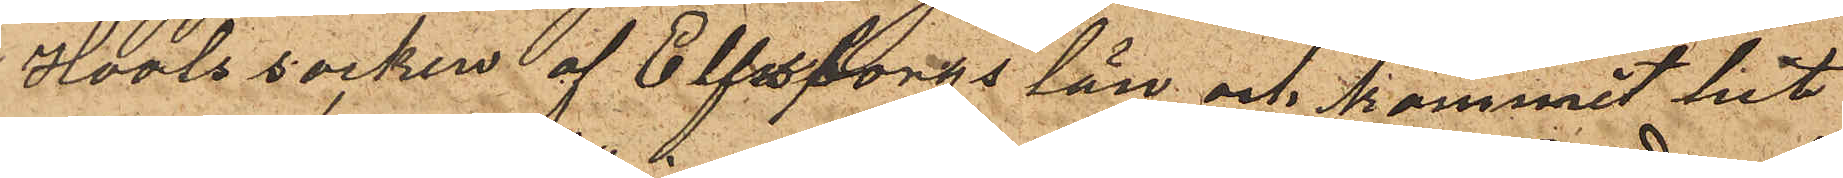Hools socken af Elfsborgs län och kommit hit
